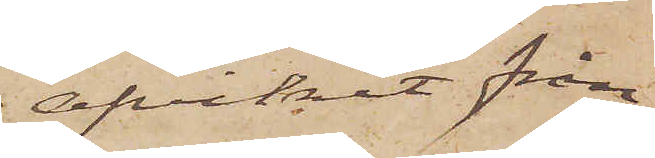afvikit från
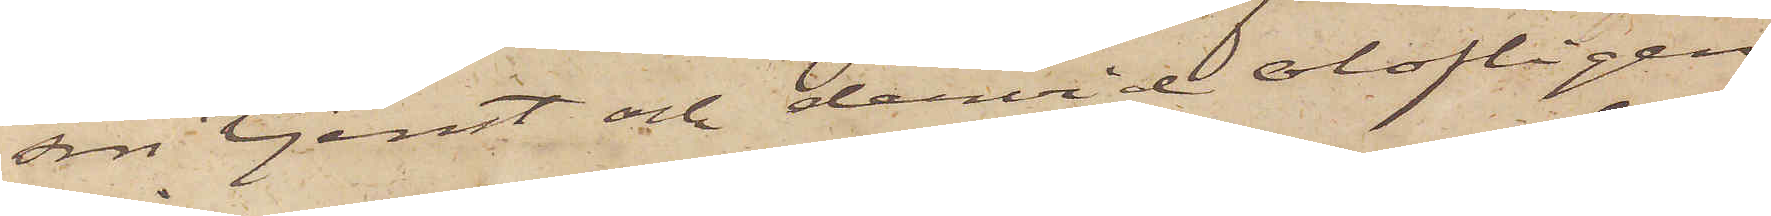sin tjenst och dervid olofligen
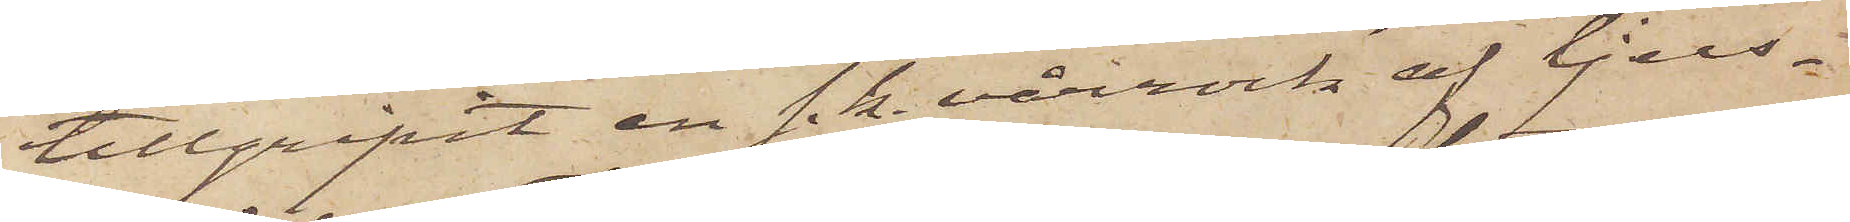tillgripit en s. k. vårrock af ljus¬
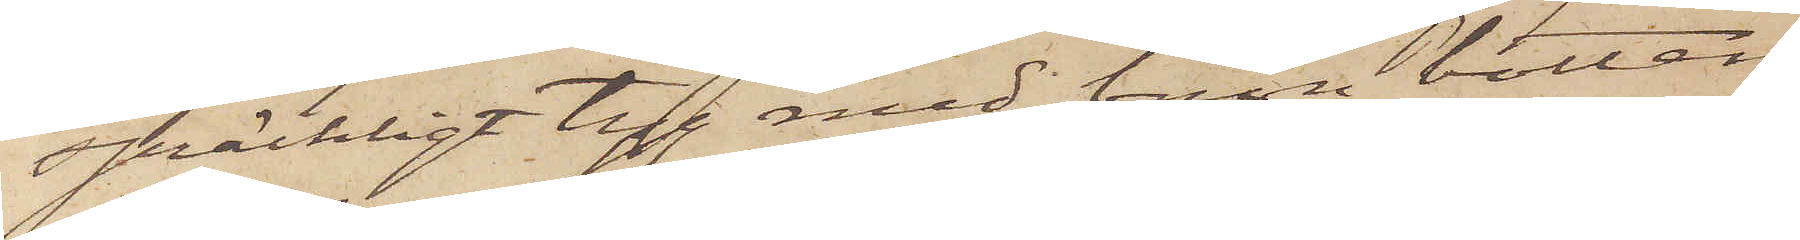spräckligt tyg med brun botten
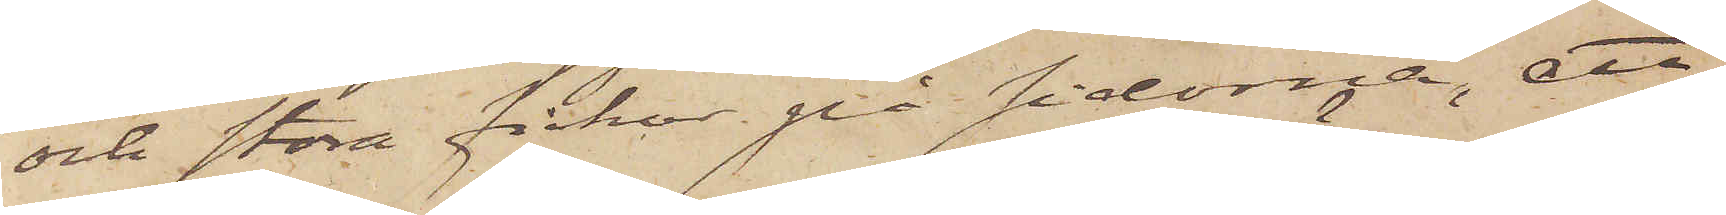och stora fickor på sidorna, ett
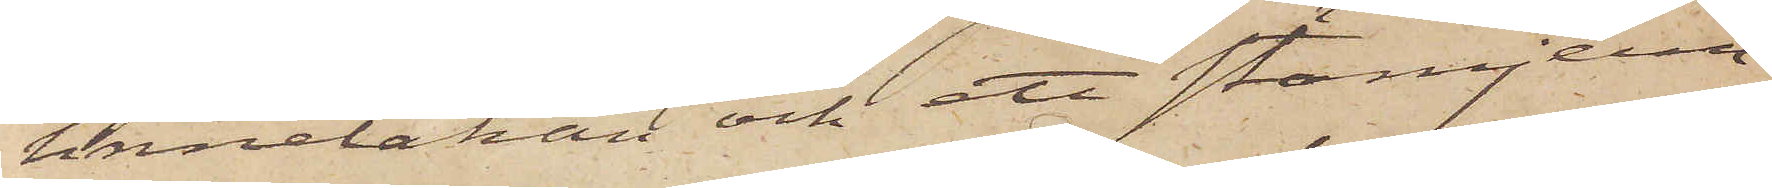linnelakan och ett stämjern.
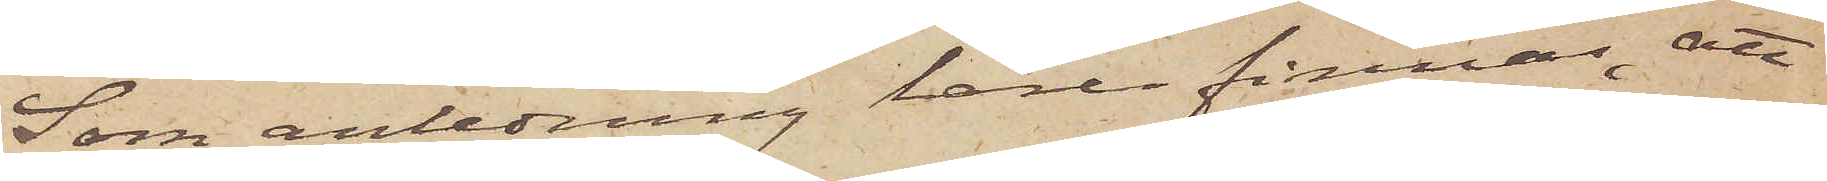Som anledning lärer finnas, att
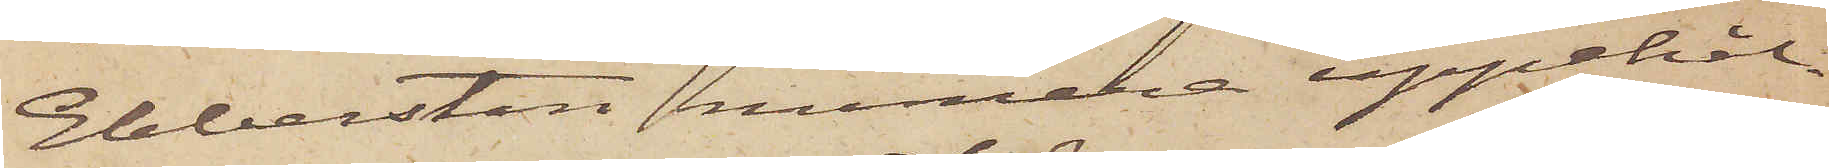Ebbersten numera uppehål¬
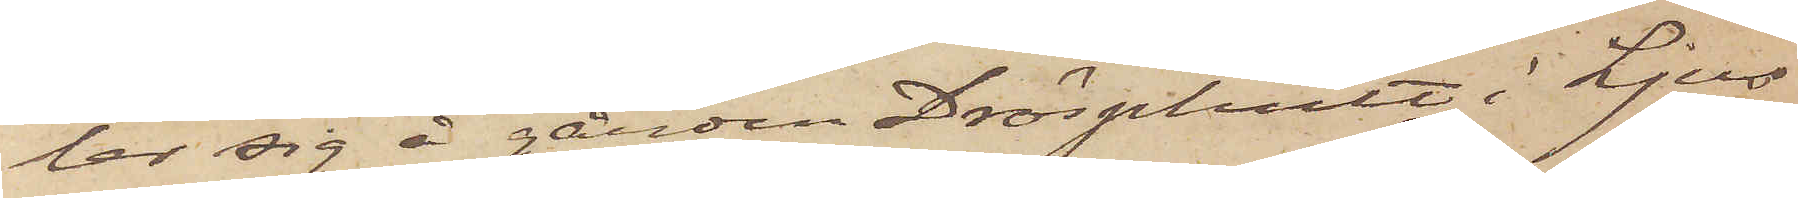lar sig å gården Drösphult i Ljus¬
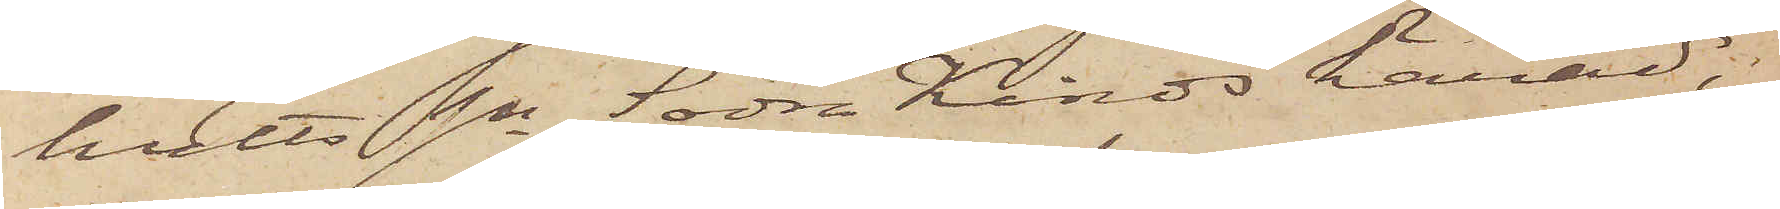hults sn Södra Kinds härad,
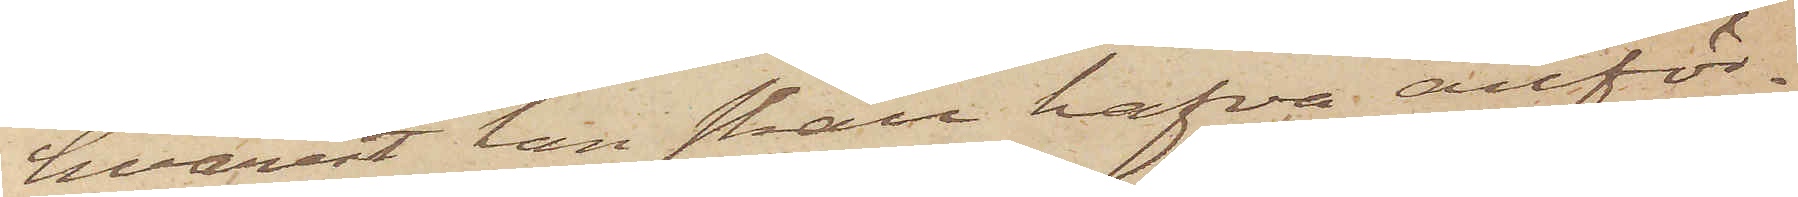hvarest han skall hafva anför¬
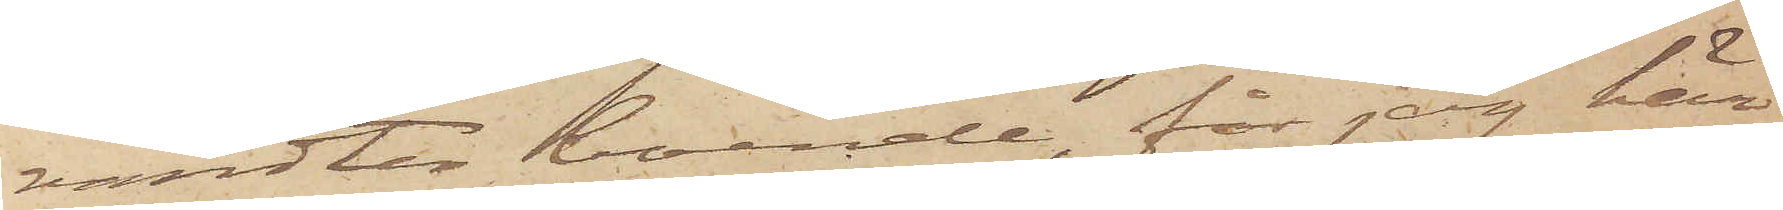vandter boende, får jag här¬
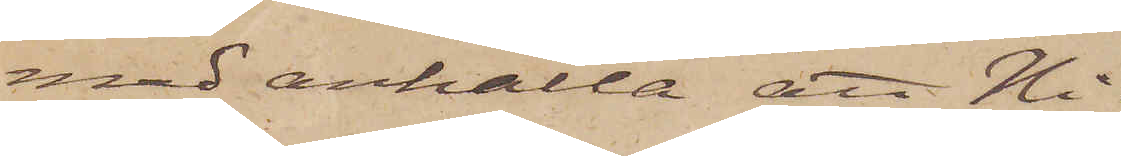med anhålla att Ni
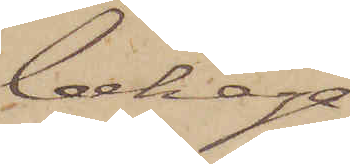behaga¬
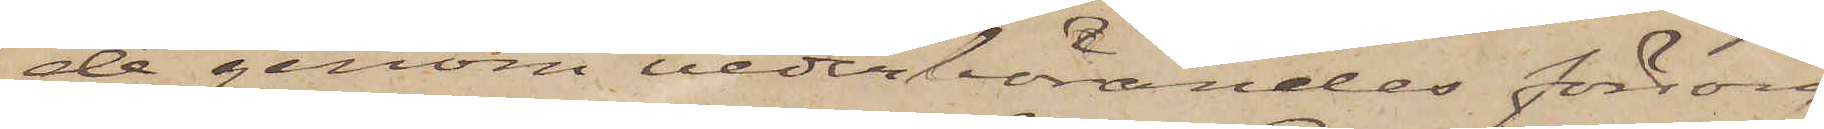de genom vederbörandes försorg
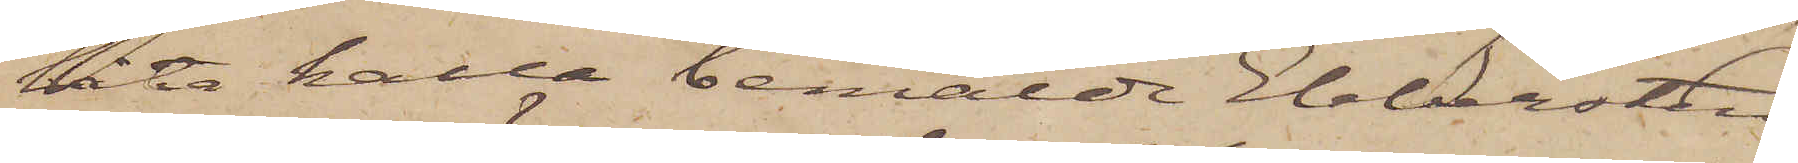låta kalla bemälde Ebbersten
